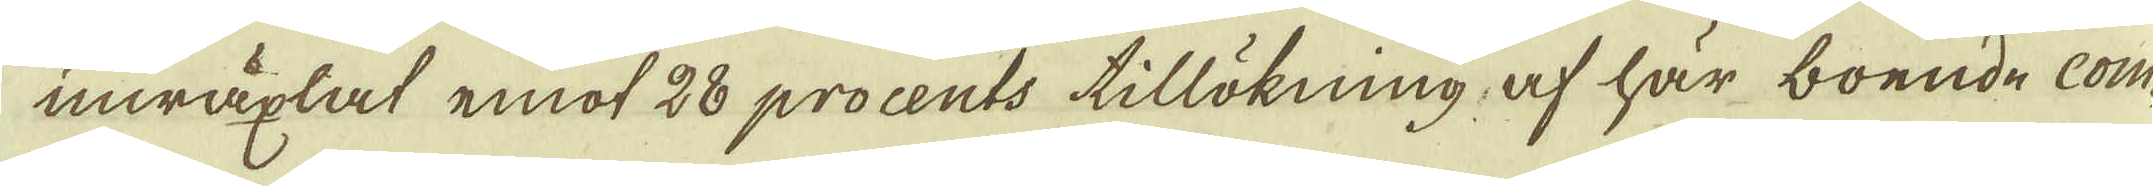inwäxlat emot 28 procents tillökning, af här boende com-
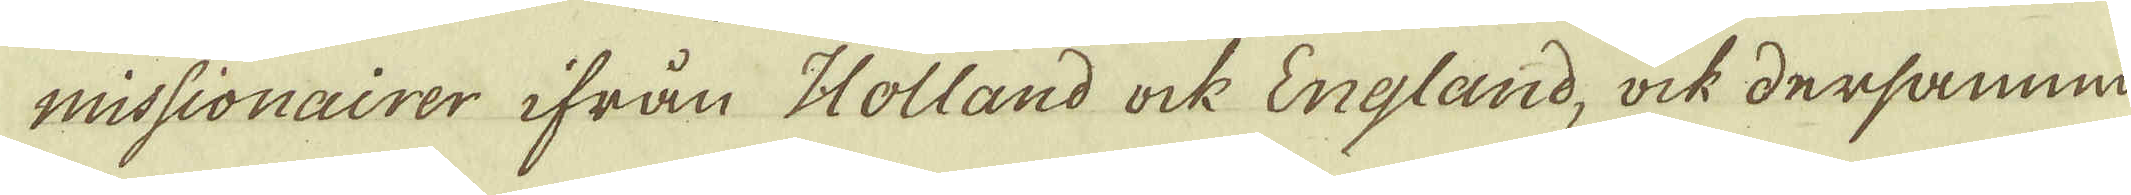missionairer ifrån Holland ock England, ock dersamni-
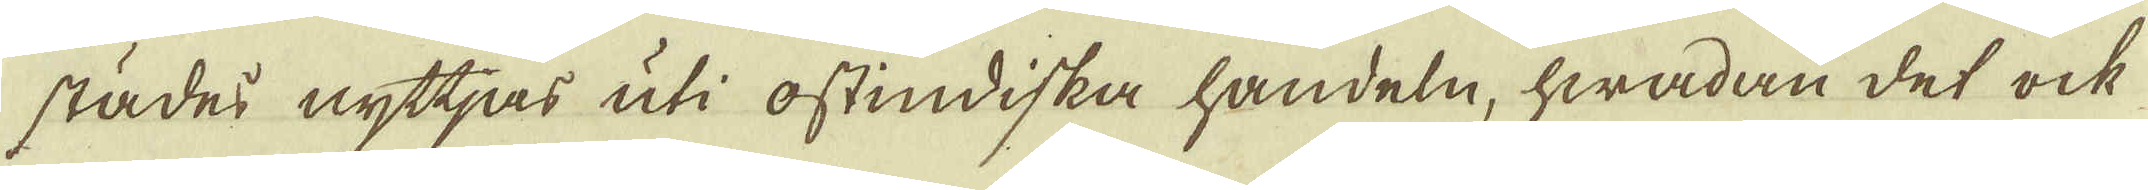städes nyttjas uti ostindiska handeln, hwadan det ock
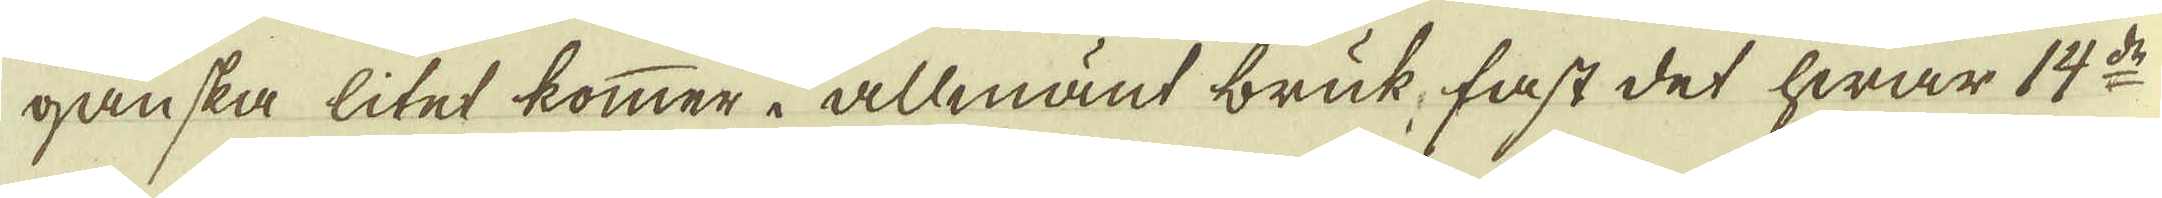ganska litet kommer i allmänt bruk, fast det hwar 14:de
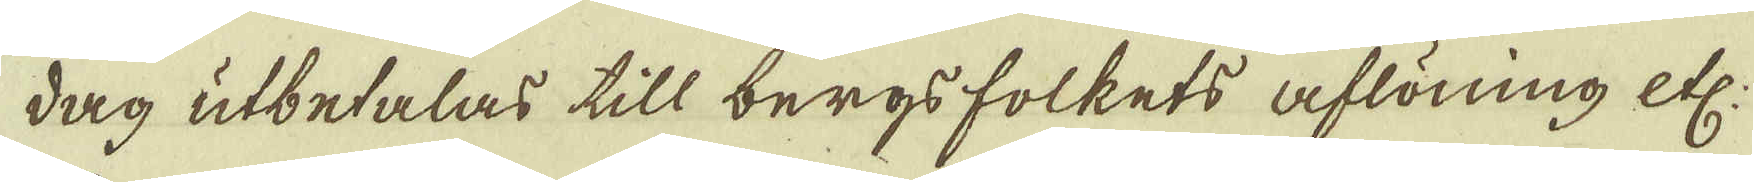dag utbetalas till bergsfolkets aflöning etc:
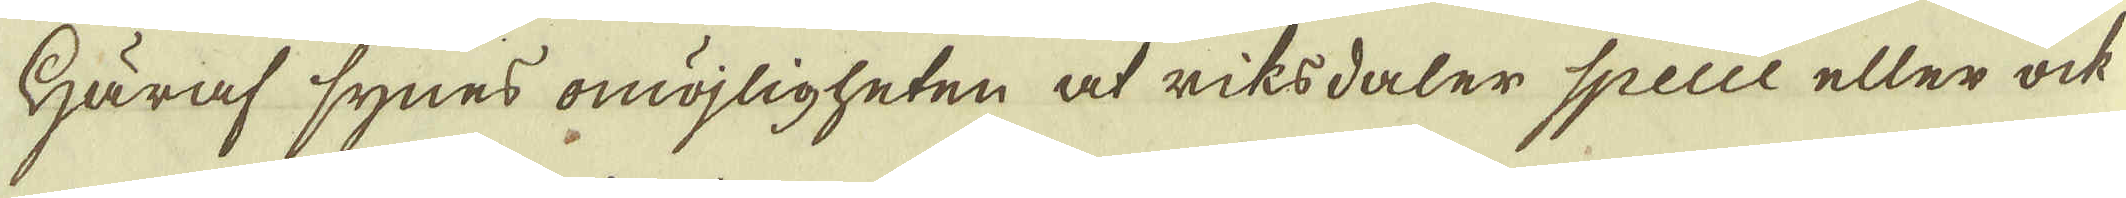Häraf synes omöjligheten at riksdaler Specie eller ock
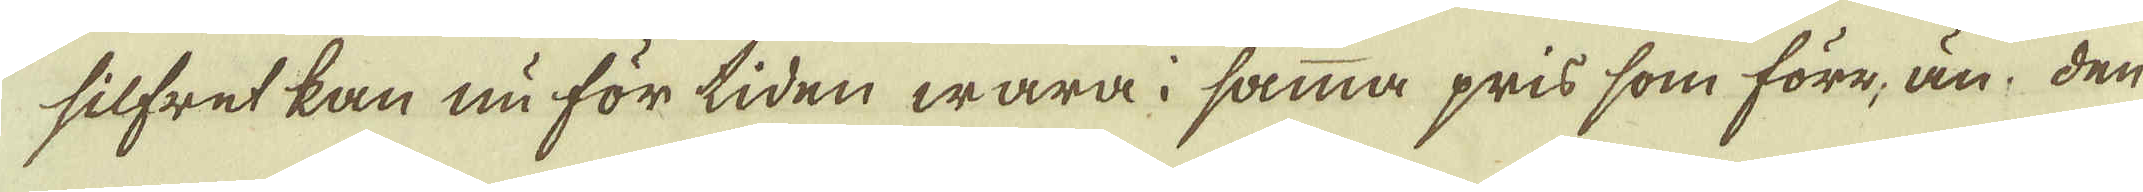silfret kan nu för tiden wara i samma pris som före, än. den
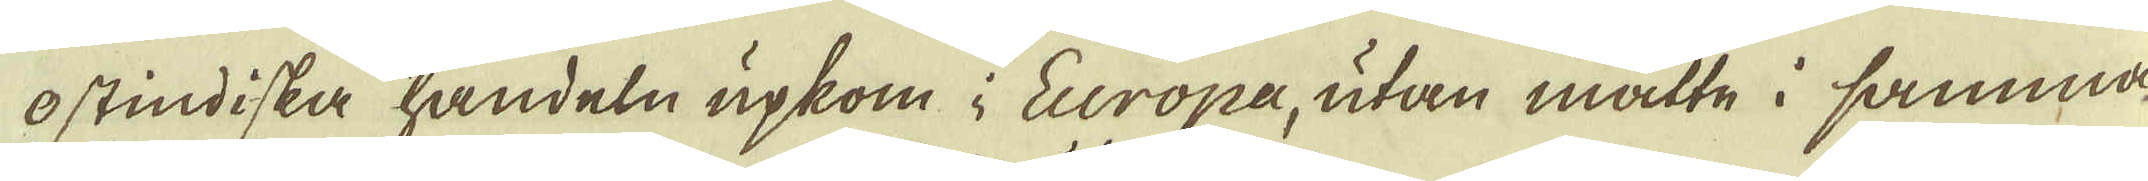ostindiska handeln upkom i Europa, utan måtte i samma
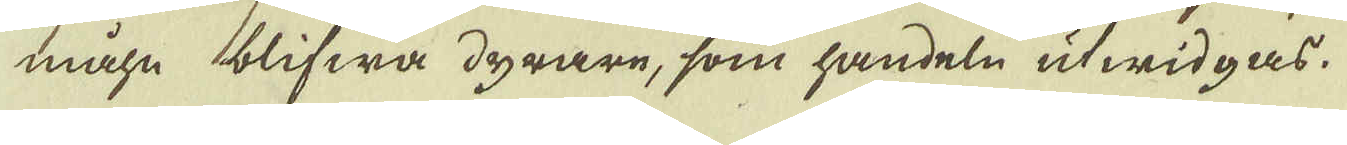måhn blifwa dyrare, som handeln utwidgas.
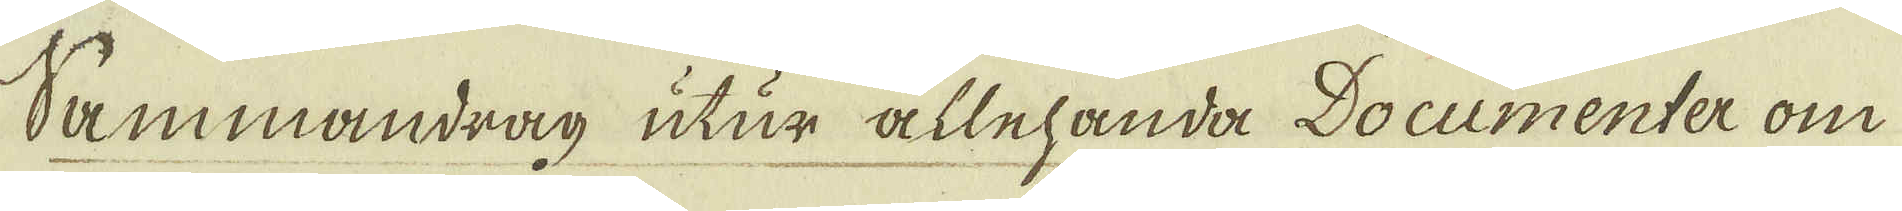Sammandrag utur allehanda Documenter om
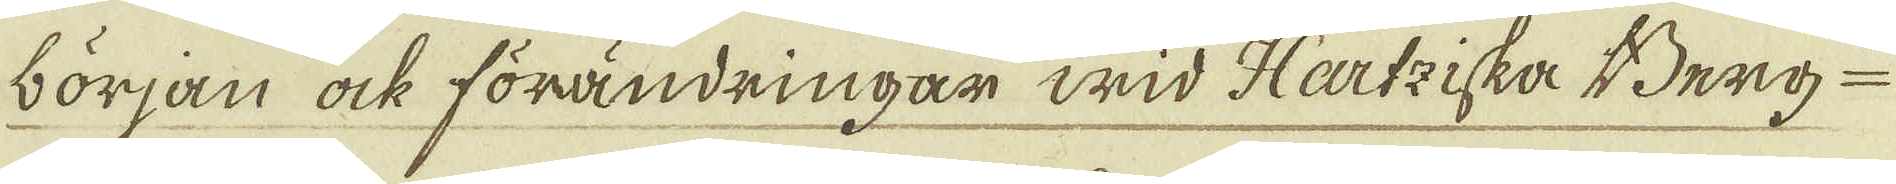början ock förändringar wid Hartziska Berg-
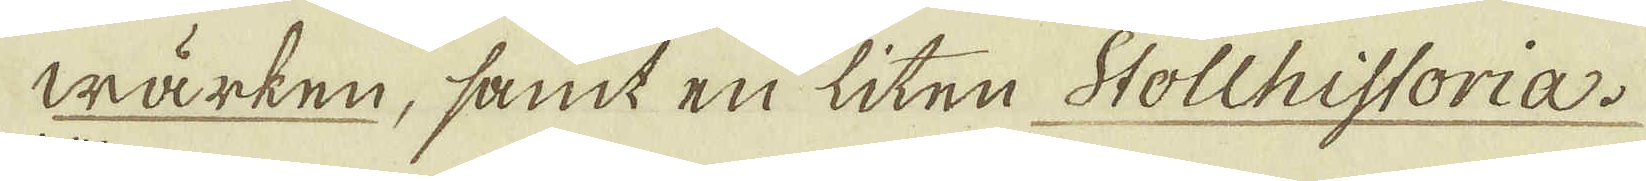wärken, samt en liten Stollhistoria.
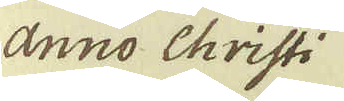änno Christi
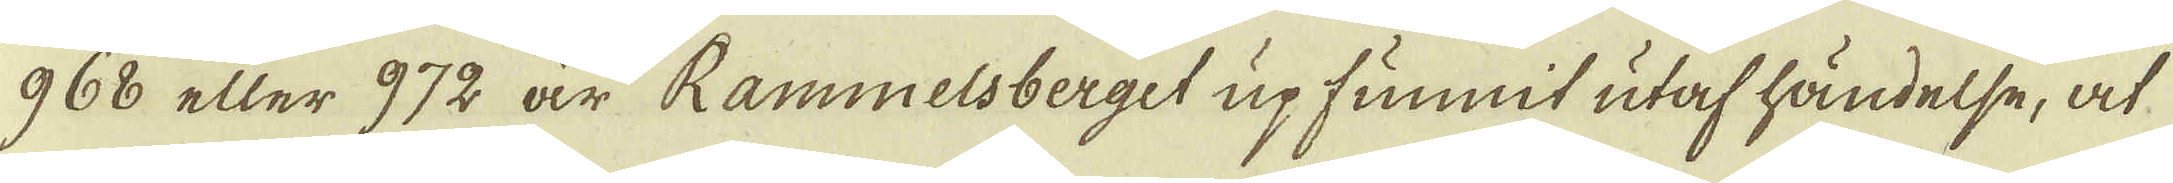968 eller 972 år Rammelsberget upfunnit utaf händelse, at
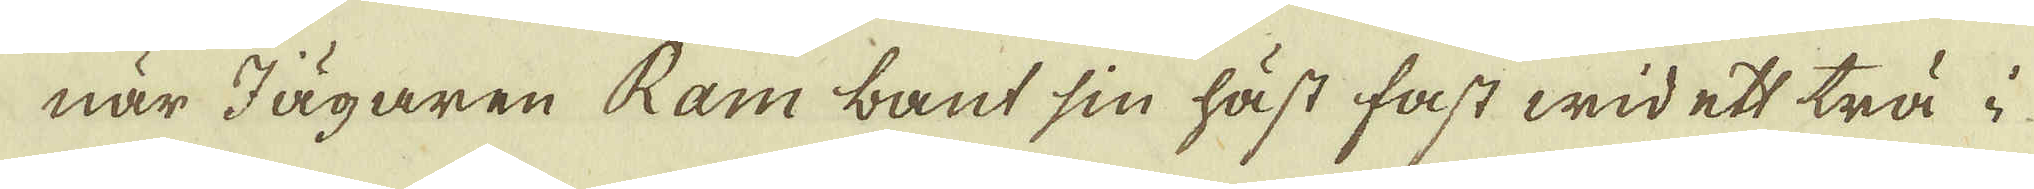när Jägaren Ram bant sin häst fast wid ett trä i
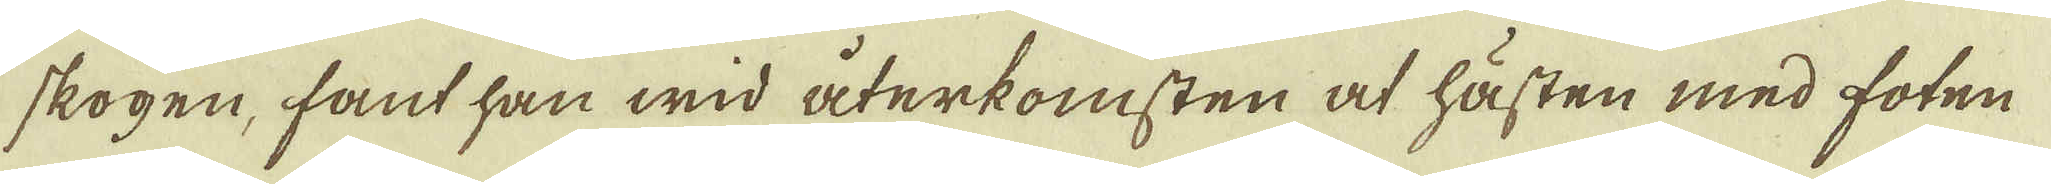skogen, fant han wid återkomsten at hästen med foten
